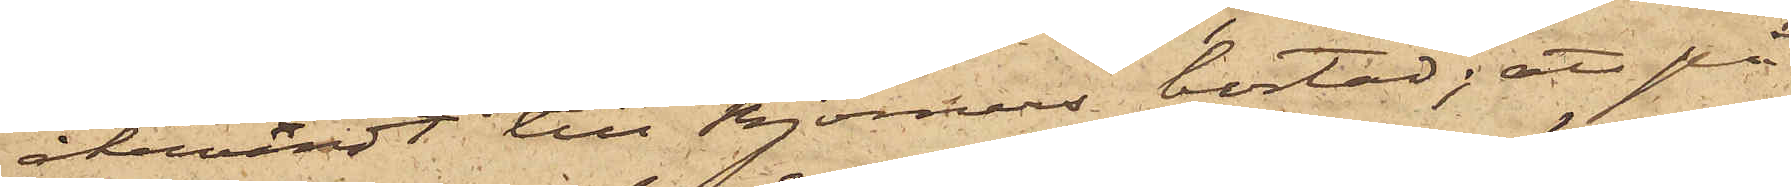återvändt till Björners bostad; att på
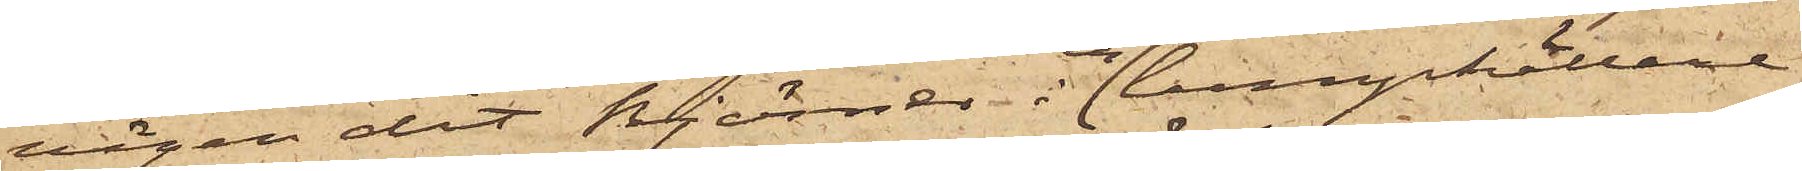vägen dit Björner i en lumpkällare
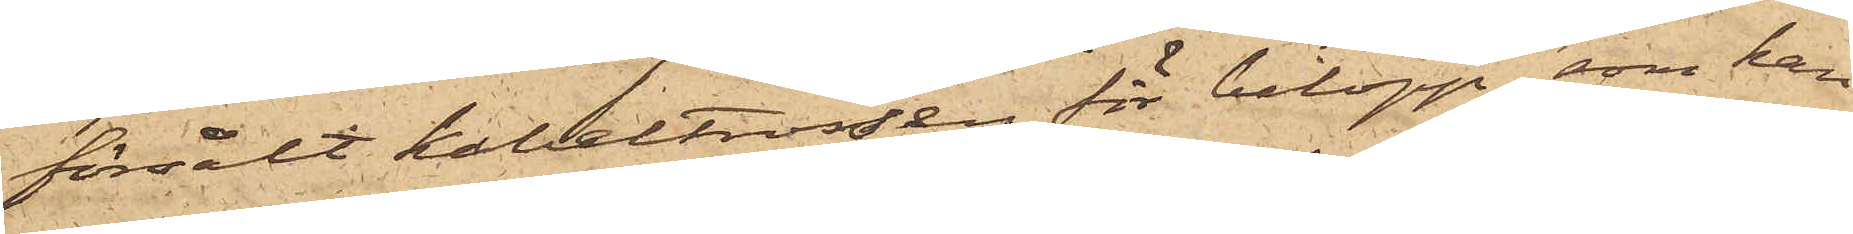försålt kabeltrossen för belopp, som han
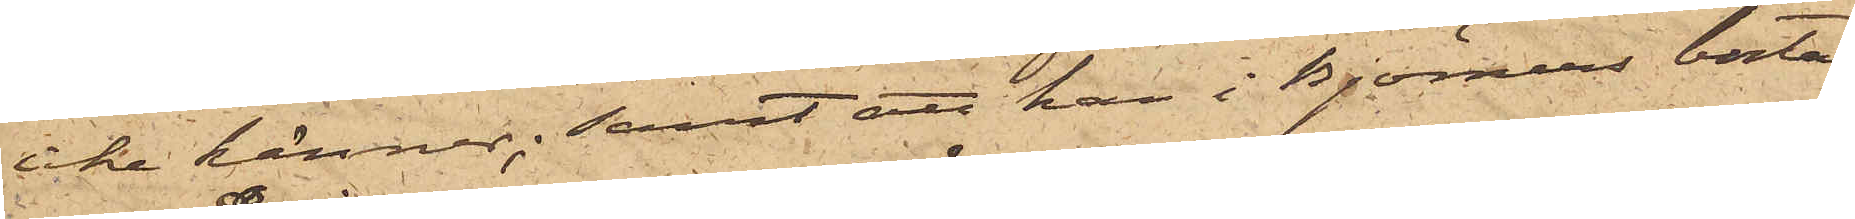icke känner; samt att han i Björners bostad
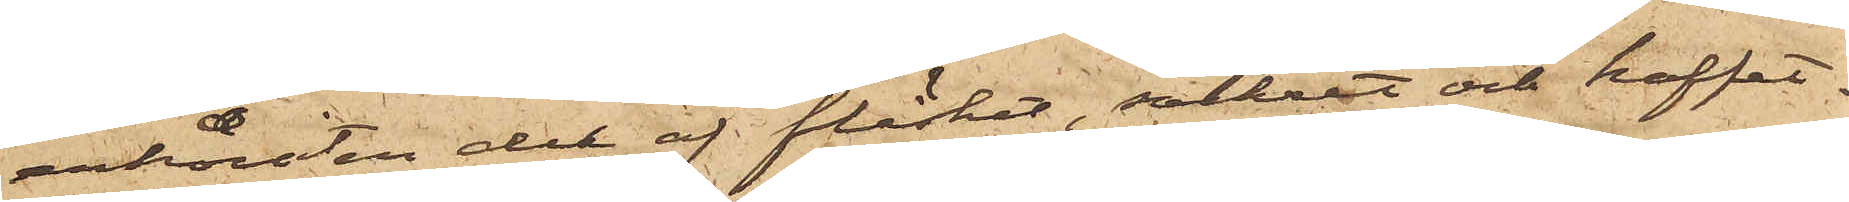erhållit del af fläsket, sockret och kaffet,
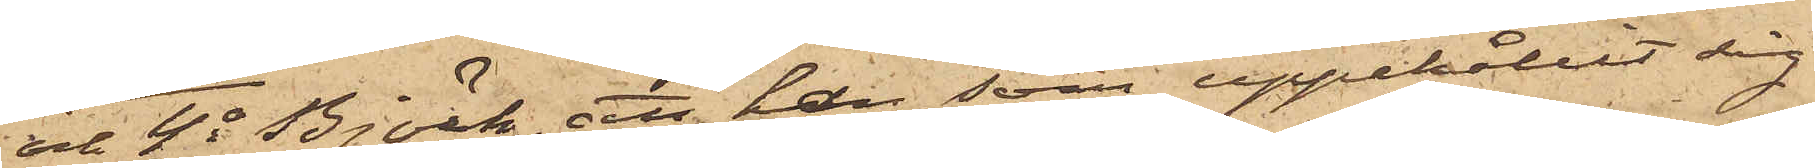och 4o Björk, att han, som uppehållit sig
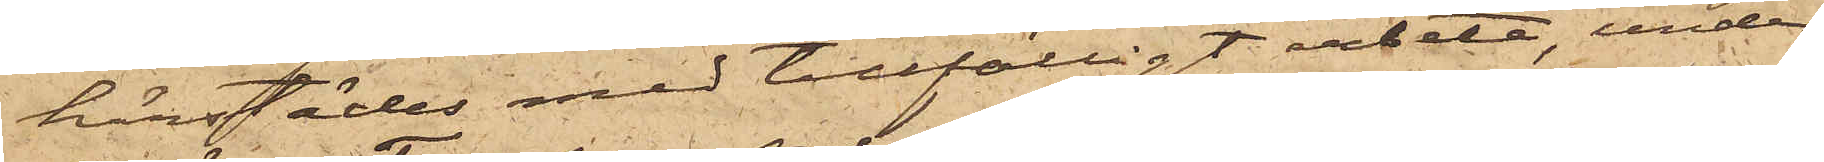härstädes med tillfälligt arbete, under
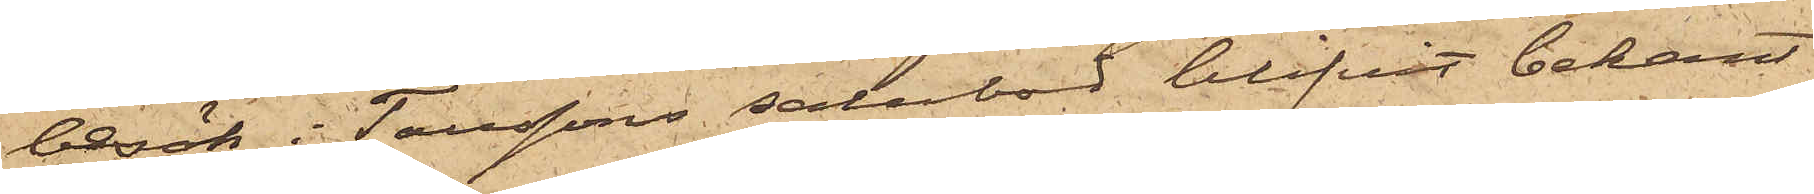besök  i Taussons salubod blifvit bekant
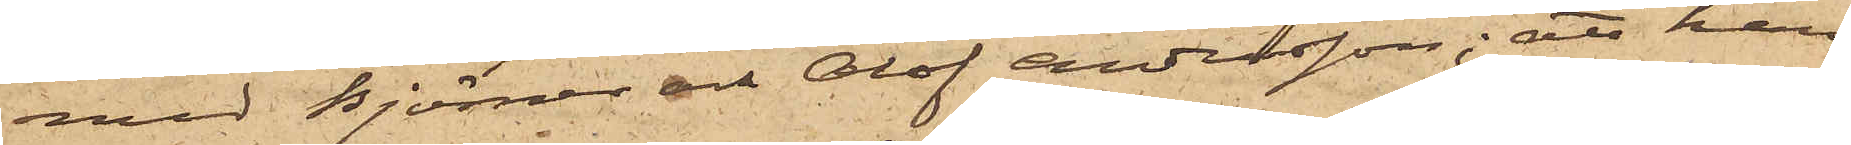med Björner och Olof Andersson; att han
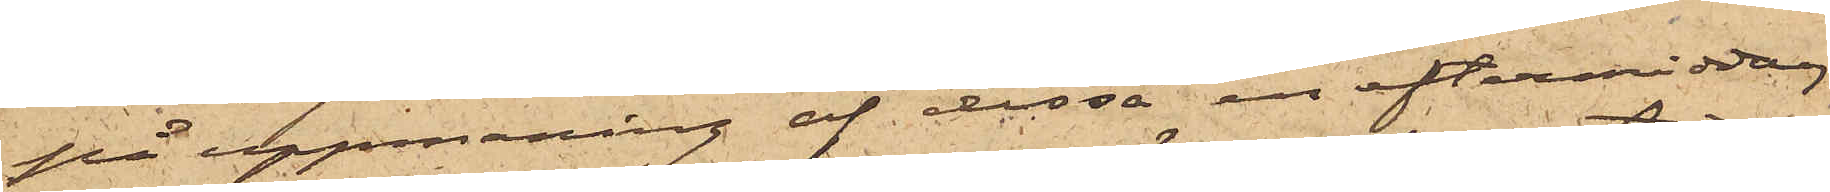på uppmaning af dessa en eftermiddag
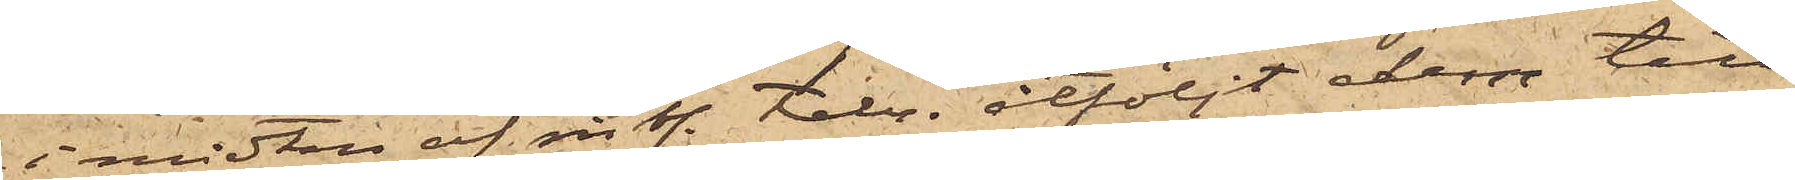i midten af sistl. Febr. åtföljt dessa till
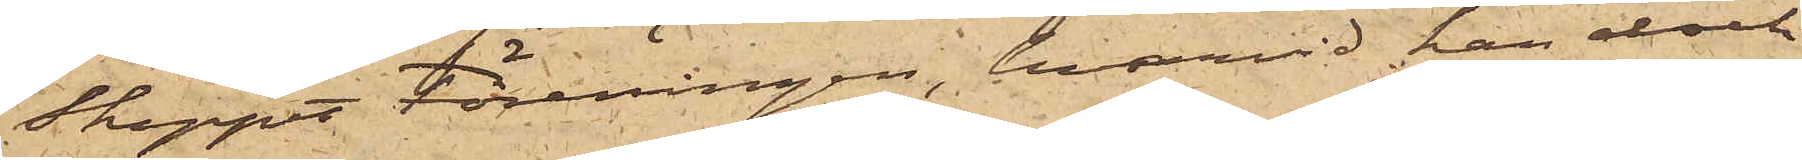Skeppet Föreningen, hvarvid han dock
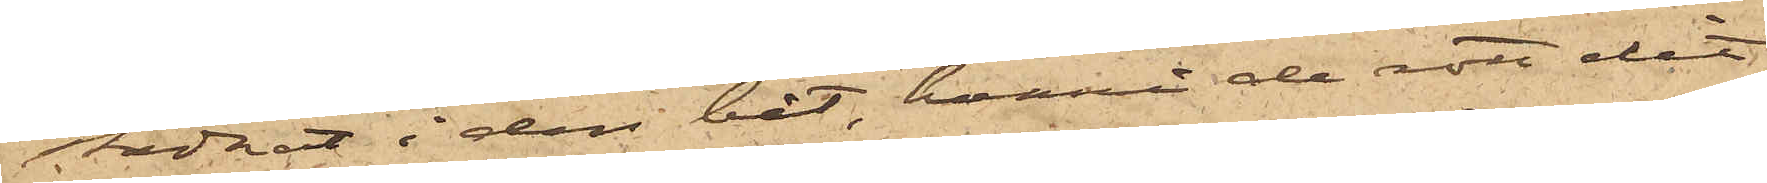stadnat i den båt, hvari de rott dit,
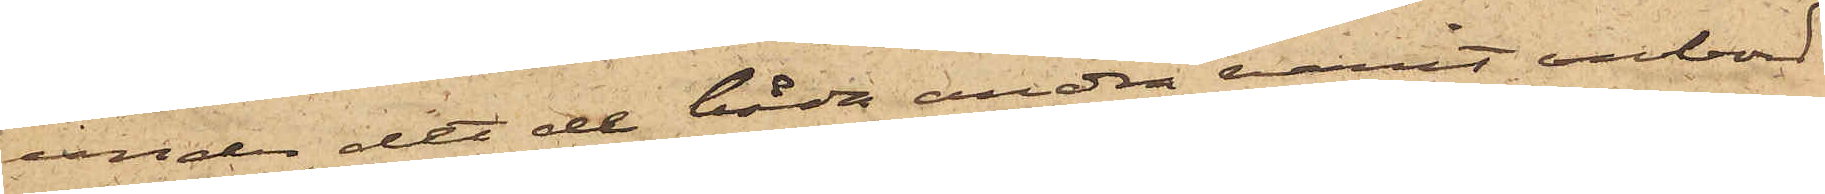under det de båda andra varit ombord
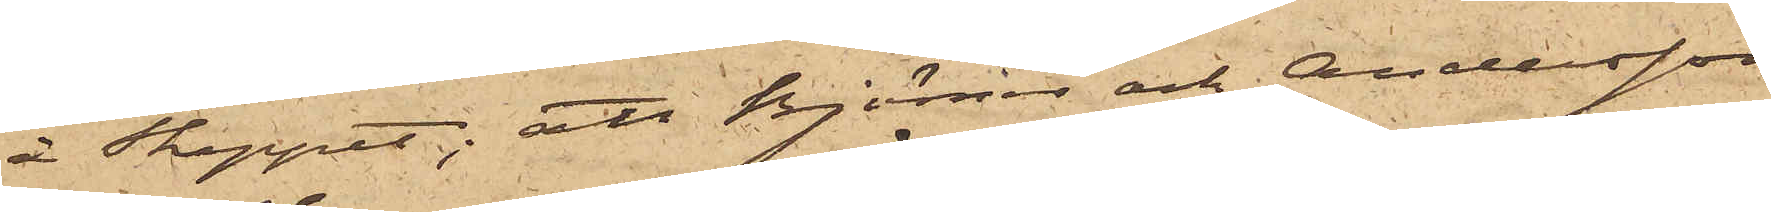å Skeppet; att Björner och Andersson
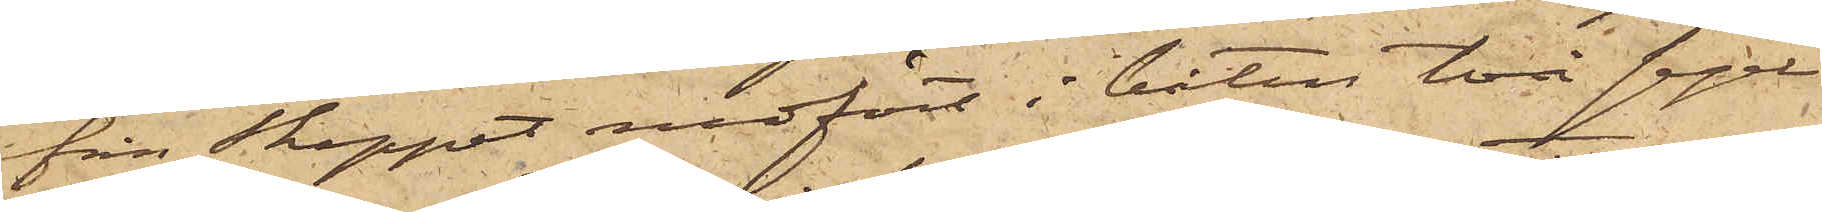från Skeppet medfört i båten två segel
